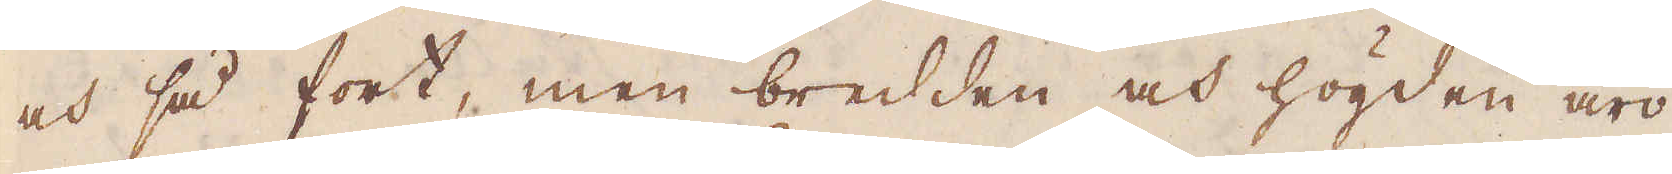och så fort, men bredden och högden äro
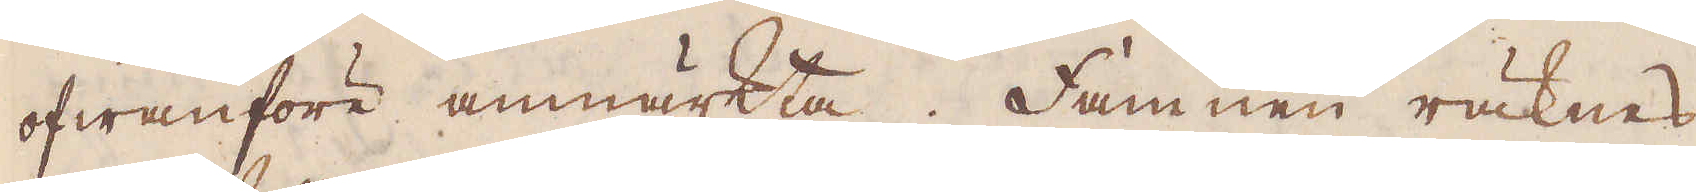ofwanföre ammärkta. Hamnen räknas
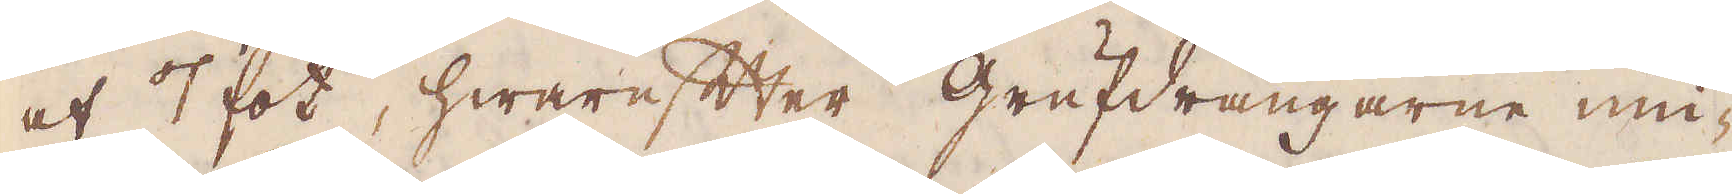af 7 fot, hwarefter Grufdrängarna niu-
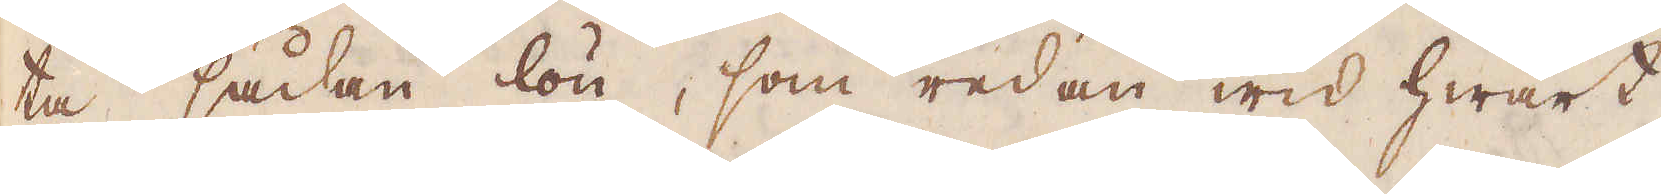ta sådan lön, som redan wid hwart
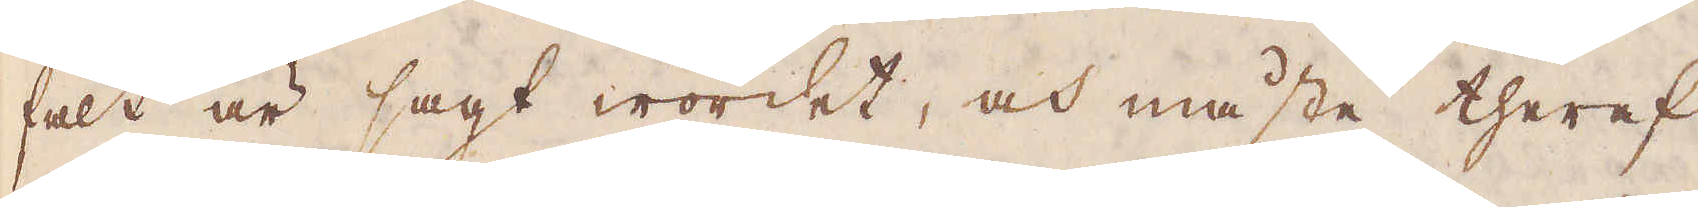fält är sagt wordet, och måste theraf
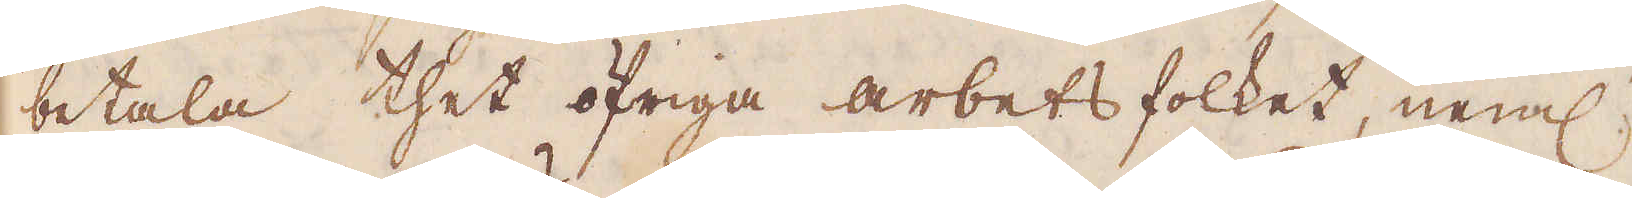betala thet öfriga arbetsfolket, neml
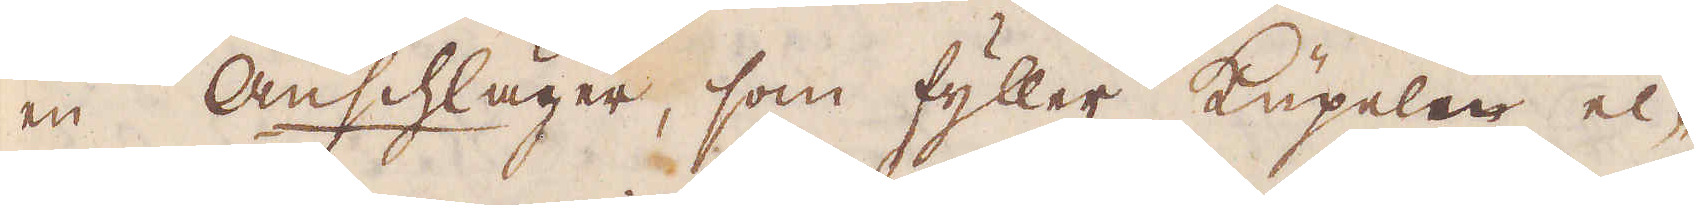en Anscläger, som fyller kupelen el-
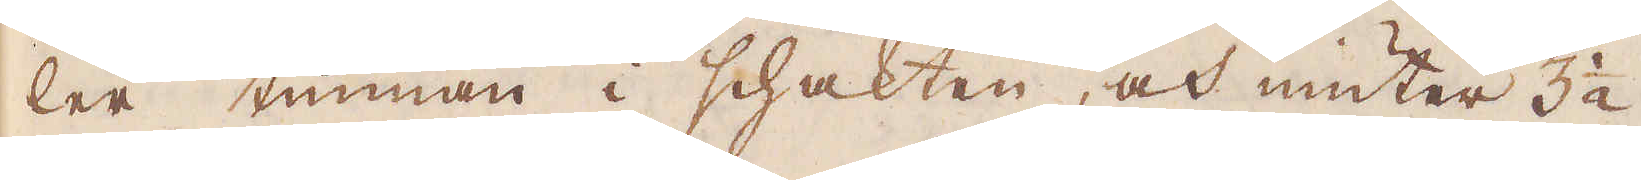ler tunnan i schakten, och niuter 3 1/2
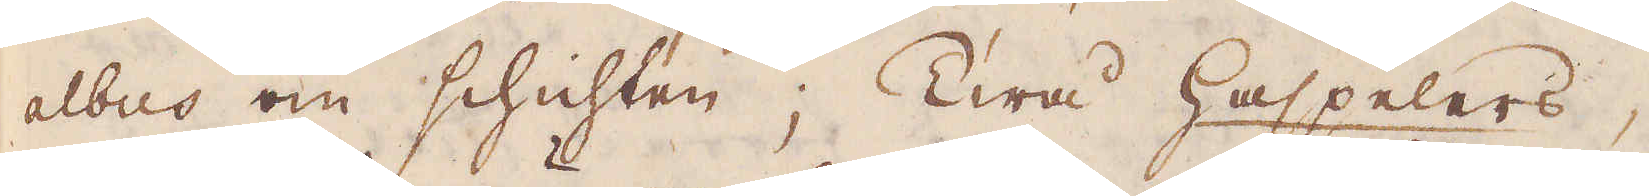albus om schichten; Twå haspelers,
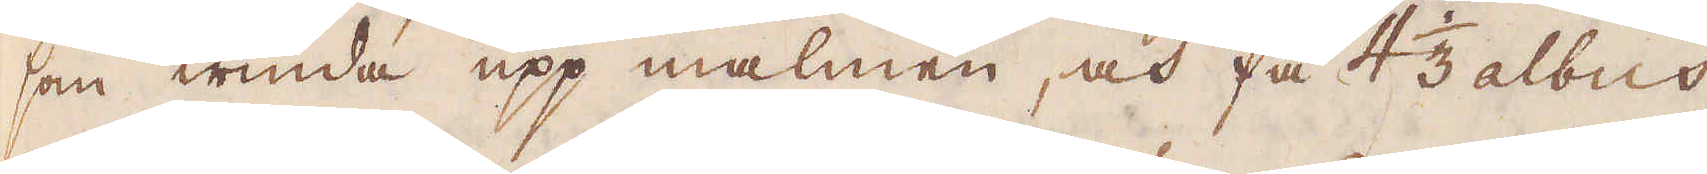som winda upp malmen, och få 4 1/3 albus
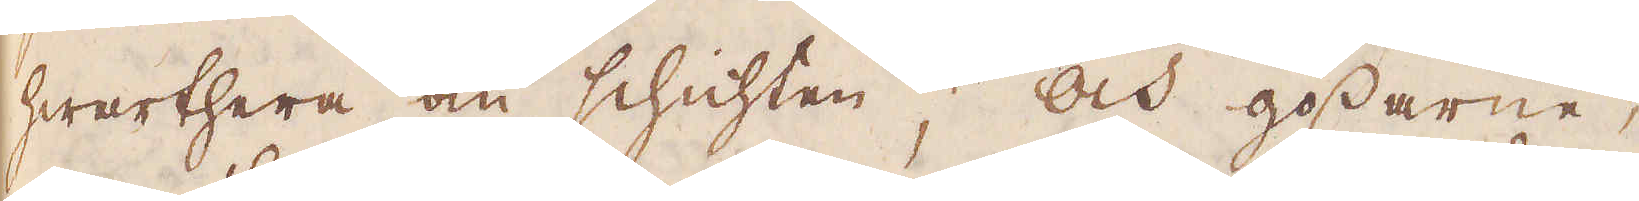hwarthera om schichten. Och gossarne,
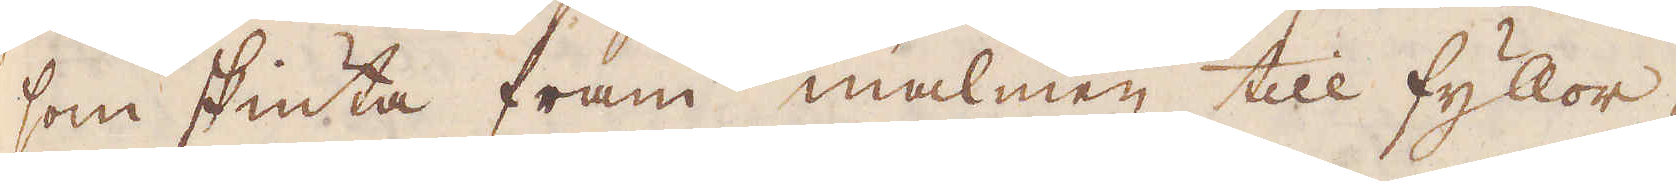som skiuta fram malmen till fyllor-
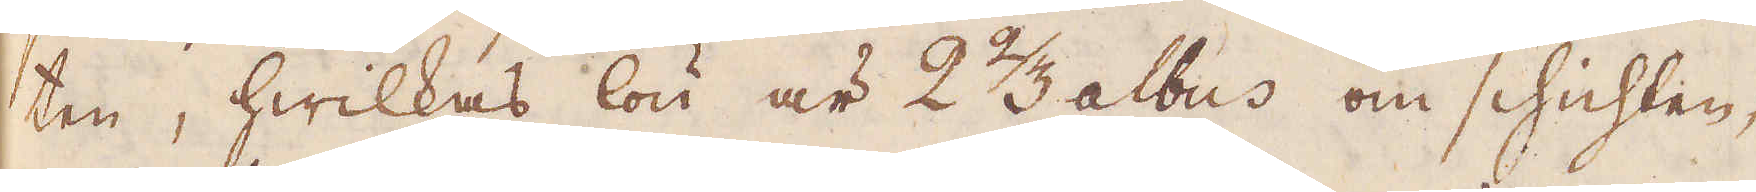ten, hwilkas lön är 2 2/3 albus om schichlen,
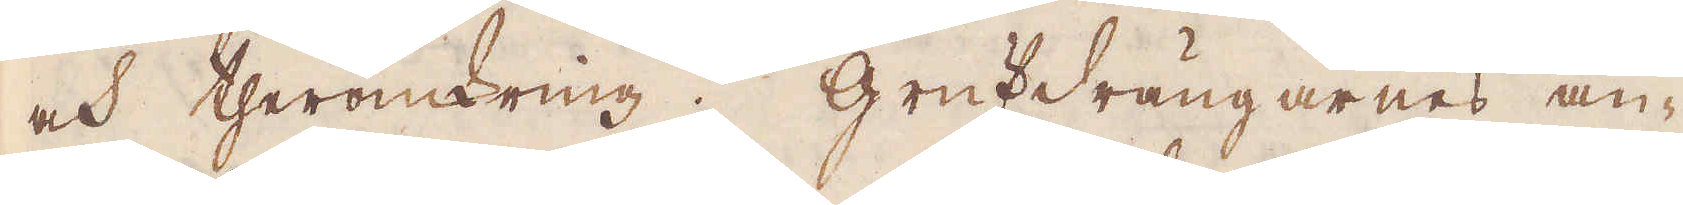och theromkring. Grufdrängarnes an-
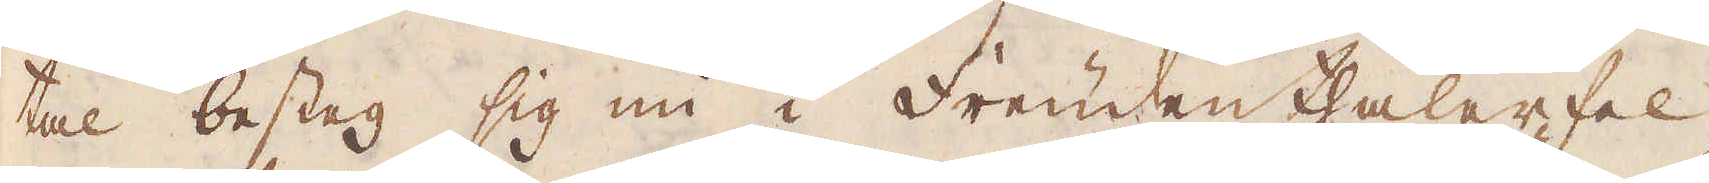tal besteg sig nu i Freudenthaller fel-
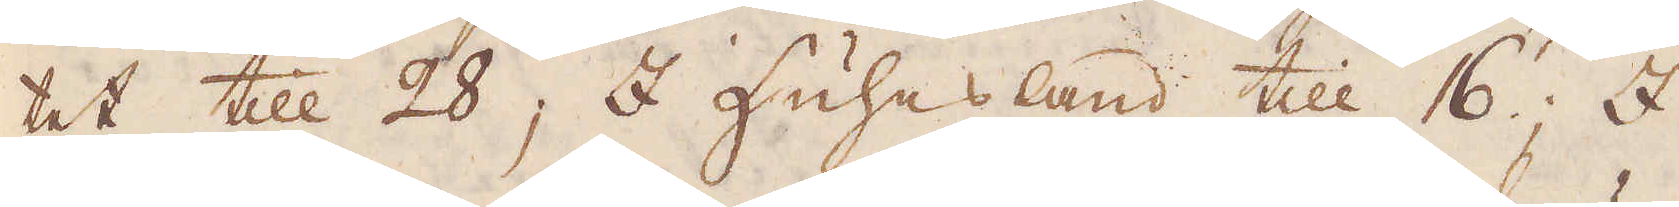tet till 28; I Huhesland till 16; I
